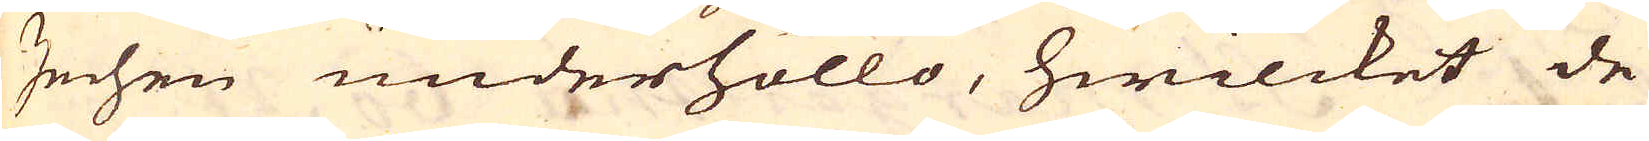Zechen underhöllo, hwilcket de
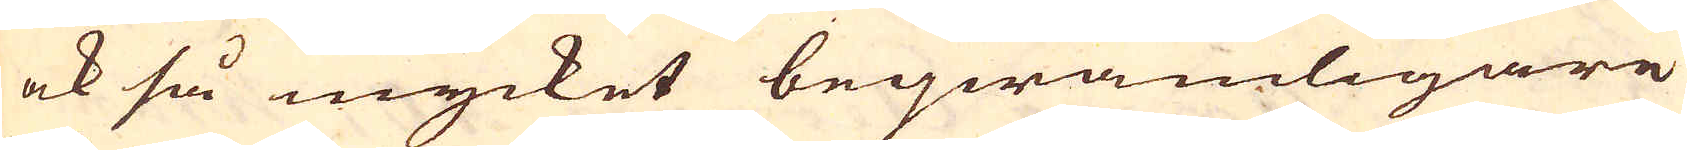ock så mycket beqwämligare
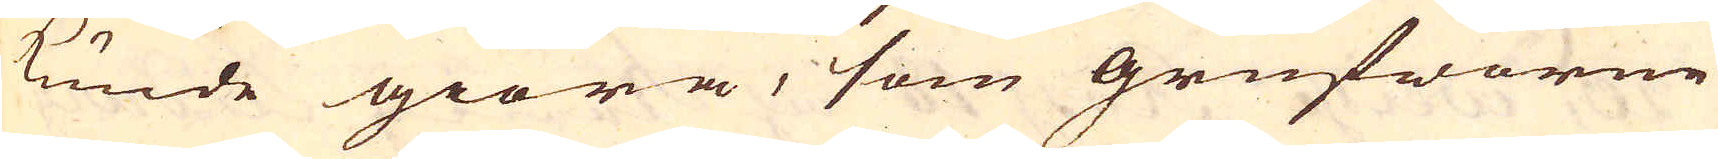kunde giöra, som grufworne
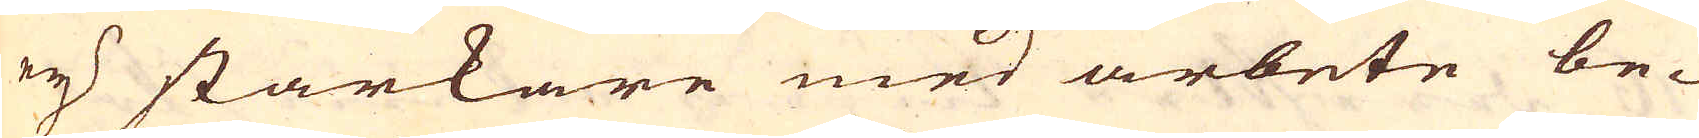ej starkare med arbete be-
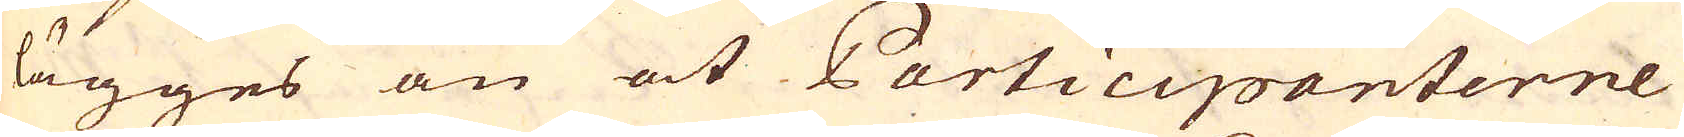lägges än at Participanterne
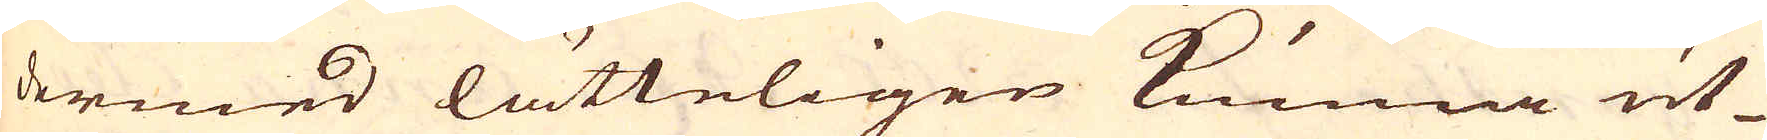dermed lätteligen kunna ut-
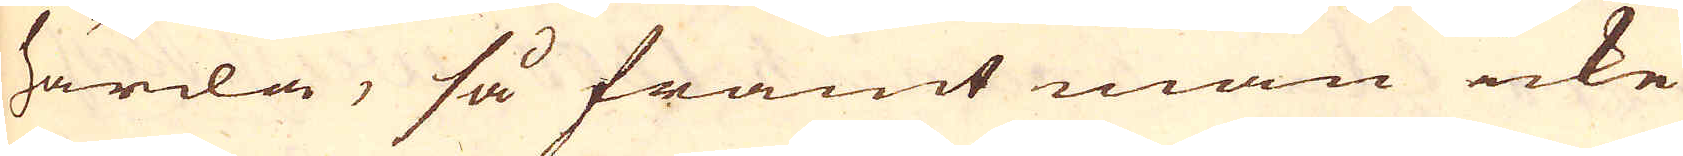härda, så framt man icke
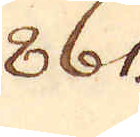861.
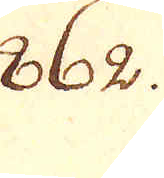862.
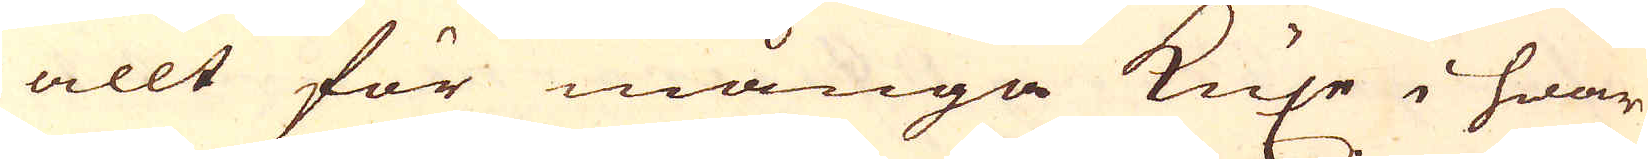allt för många Kuxe i hwar
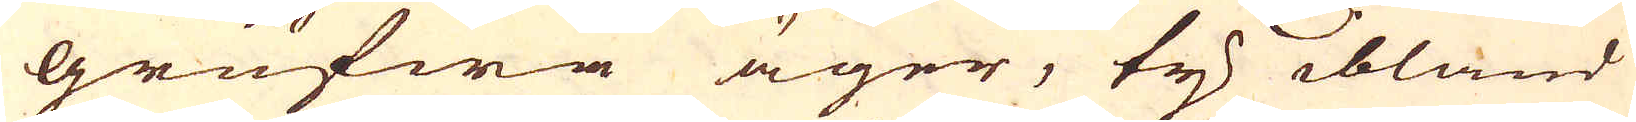grufwa äger, ty ibland
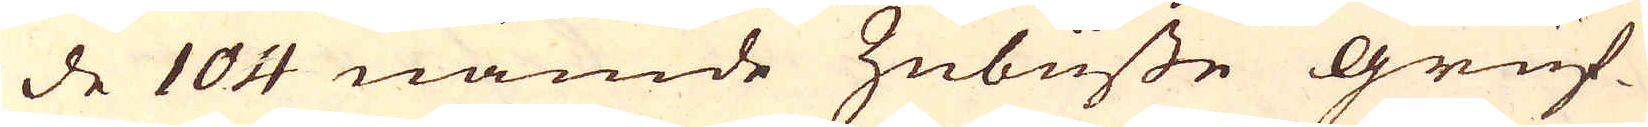de 104 nämde Zubüsse gruf-
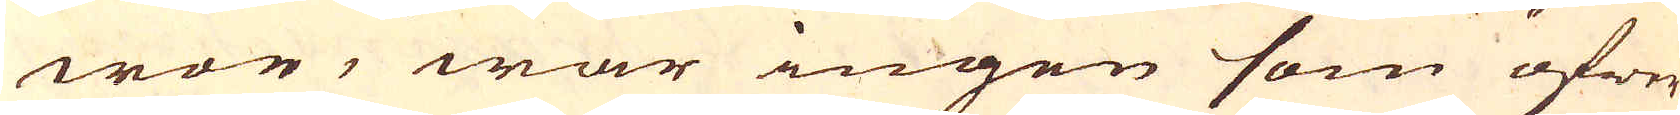wor, war ingen som öfwer
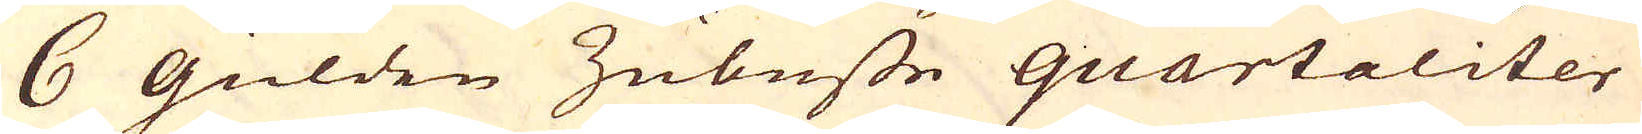6 gülden Zubusse quartaliter
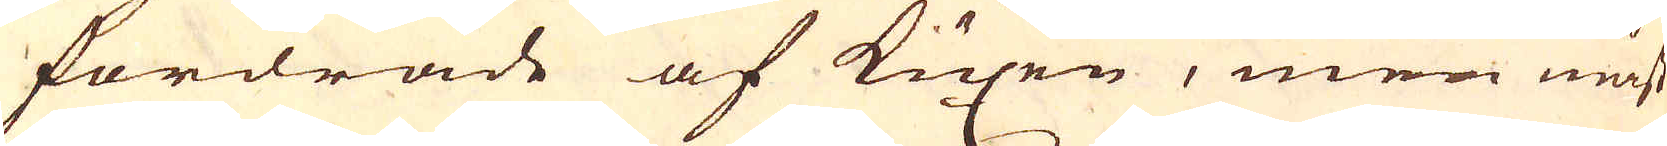fordrade af Kuxen, men mäst
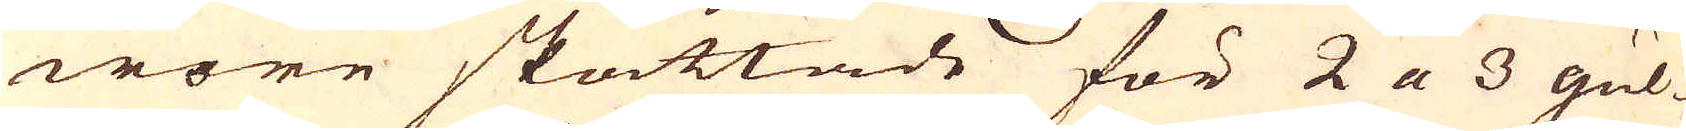wore skattade för 2 a 3 gul-
